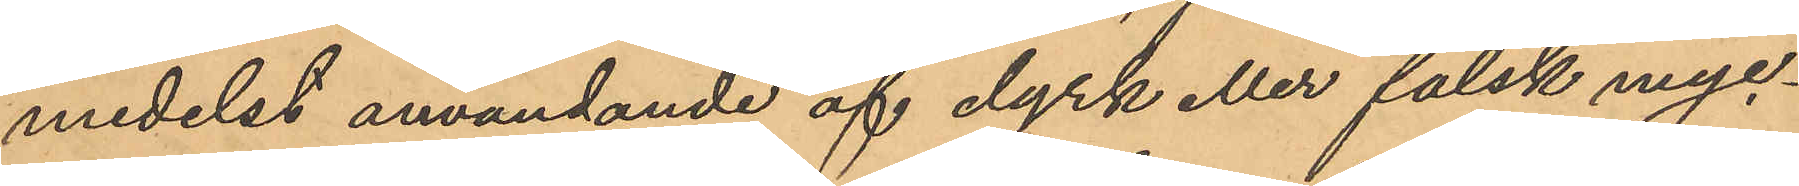medelst användande af dyrk eller falsk nyc¬
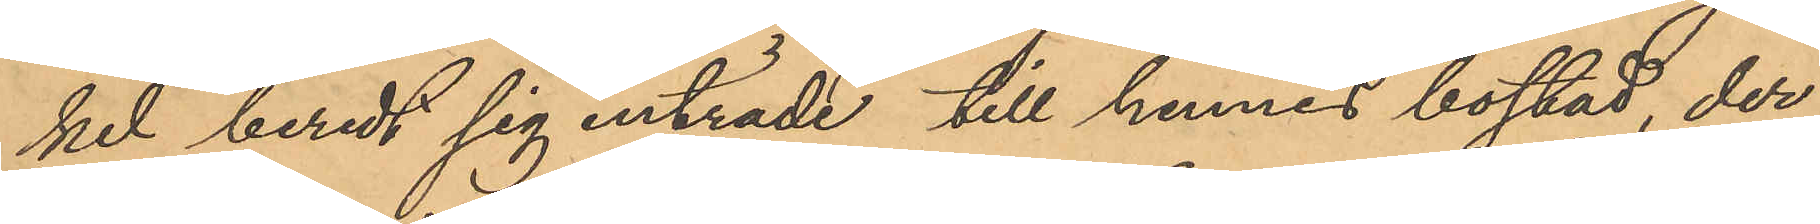kel beredt sig inträde till hennes bostad, der
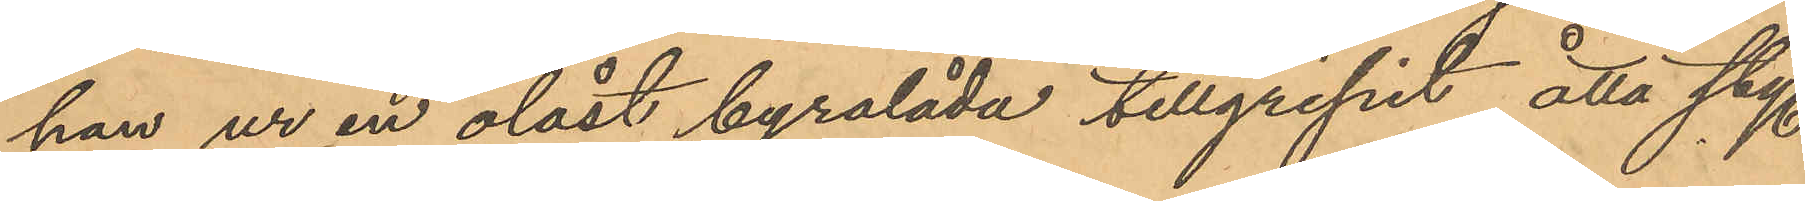han ur en olåst byrålåda tillgripit åtta sty.
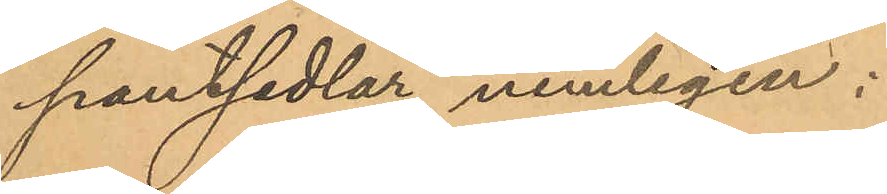pantsedlar, nemligen:
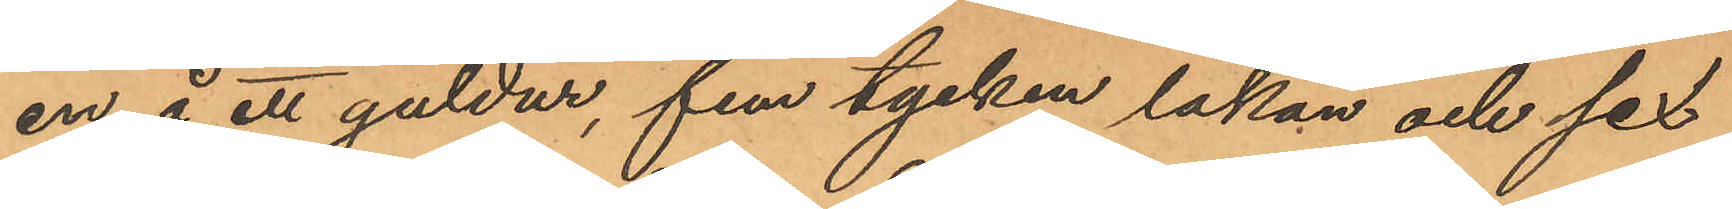en å ett guldur, fem stycken lakan och sex
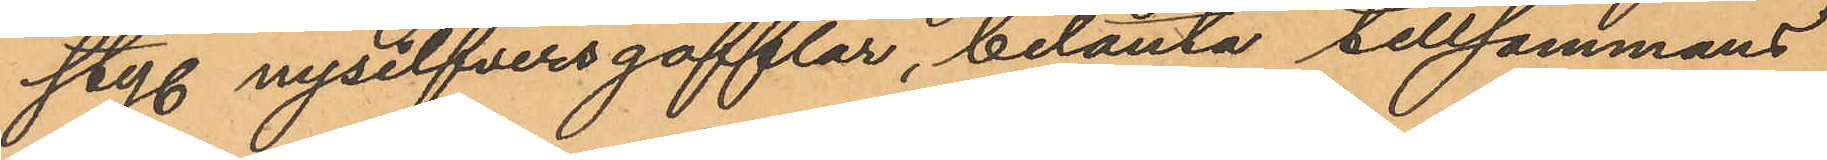sty. nysilfversgafflar, belånta tillsammans
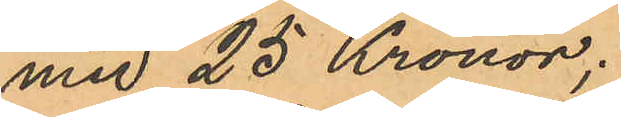med 25 Kronor;
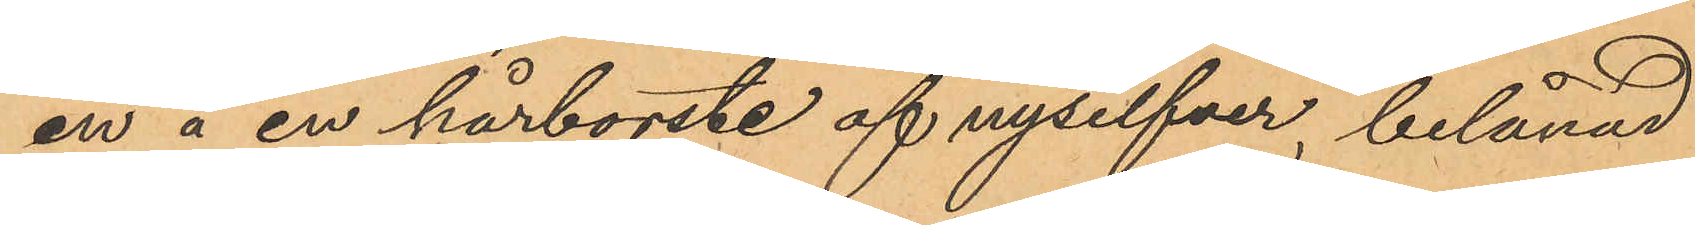en å en hårborste af nysilfver, belånad
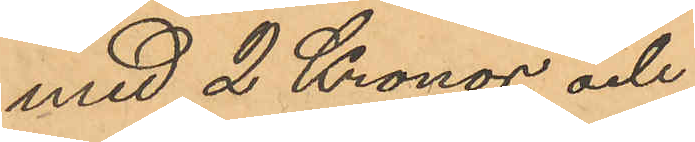med 2 Kronor, och
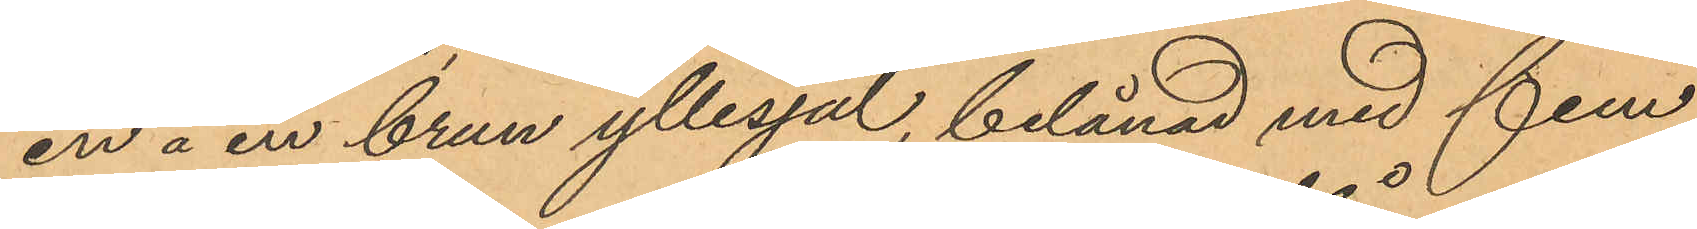en å en brun yllesjal, belånad med fem
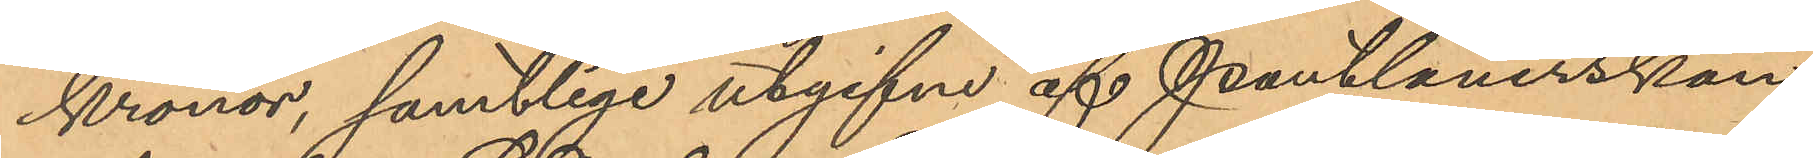Kronor, samtlige utgifne af Pantlånerskan
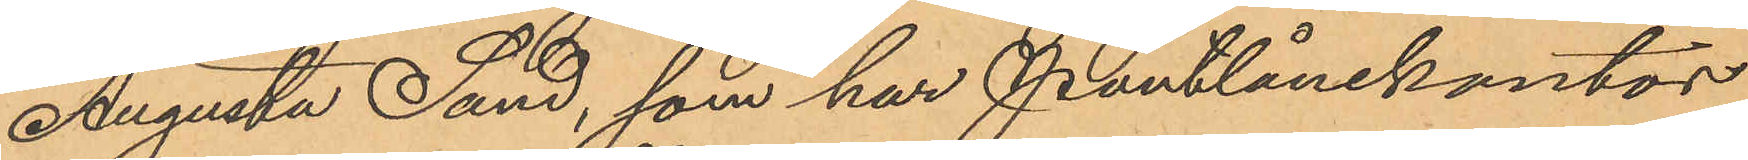Augusta Sand, som har Pantlånekontor
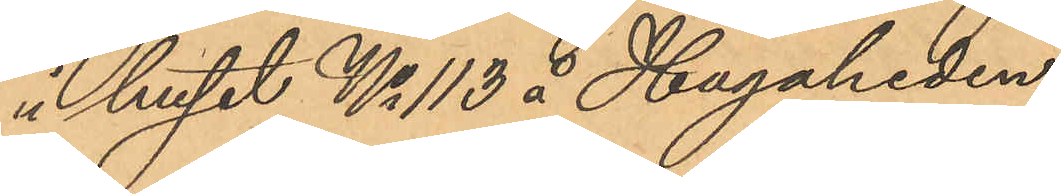i huset No 113 å Hagaheden;
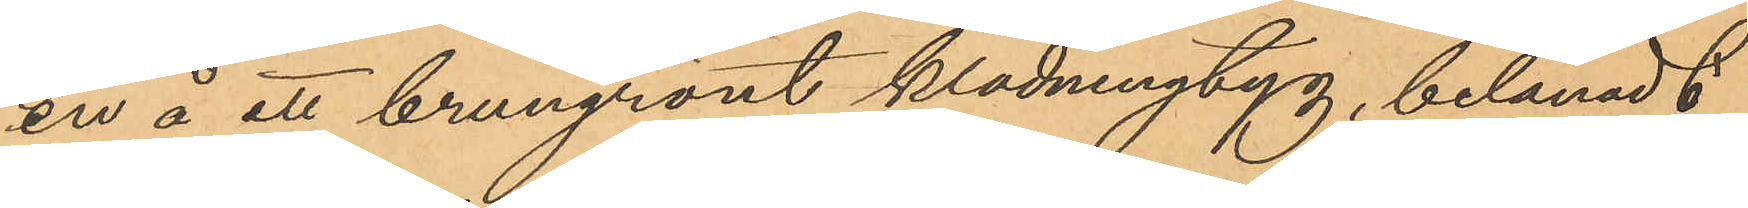en å ett brungrönt klädningtyg, belånadt
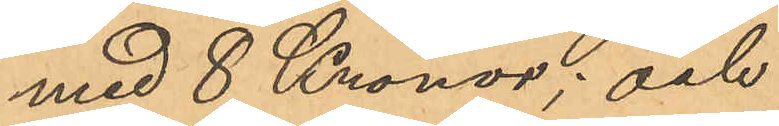med 8 Kronor; och
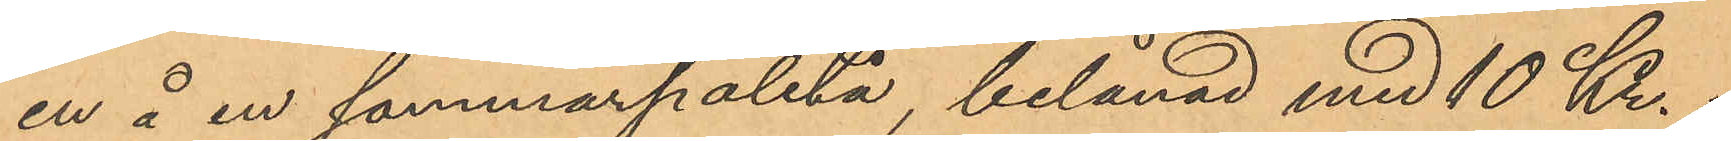en å en sommarpaletå, belånad med 10 Kr.,
